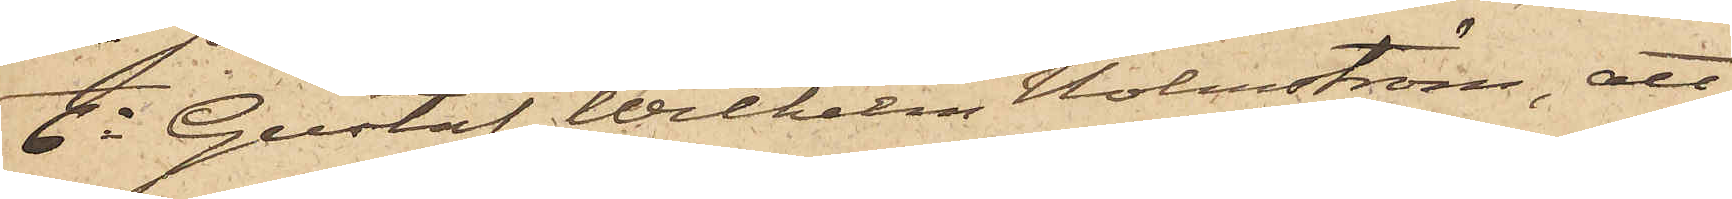6o Gustaf Wilhelm Holmström, att
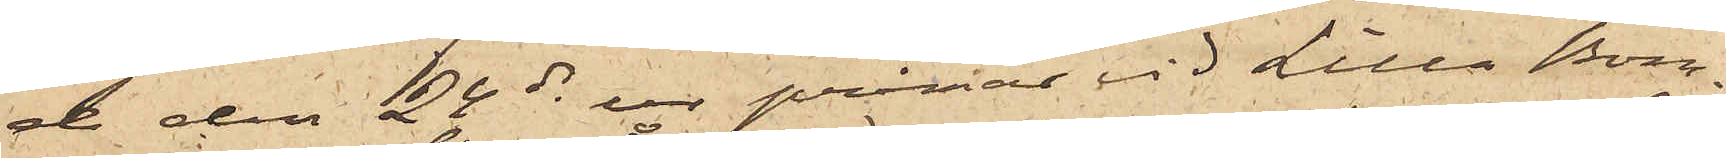de den 24 ds ur pråmar vid Lilla Bom¬
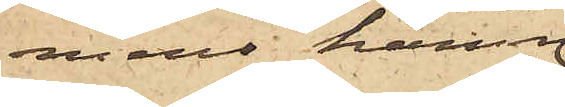mens hamn
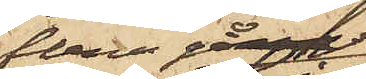flera gånger
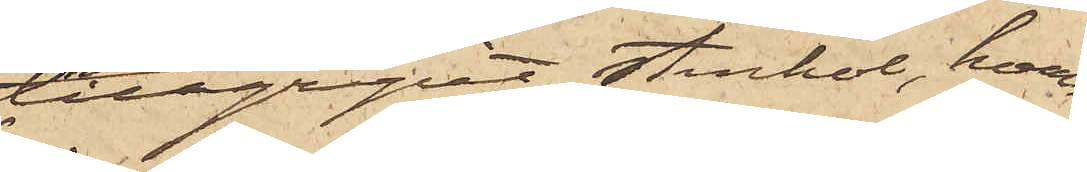tillgripit stenkol, hvar¬
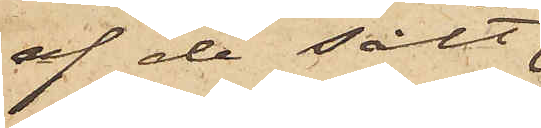af de sålt
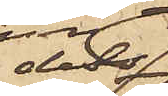dels
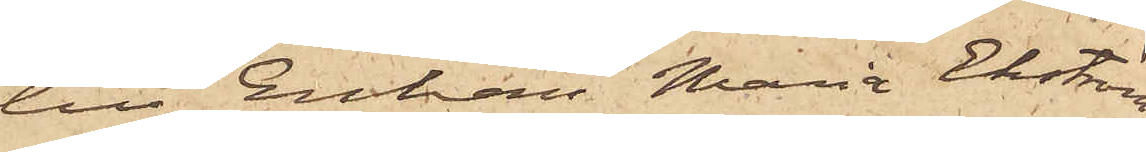till Enkan Maria Ekström
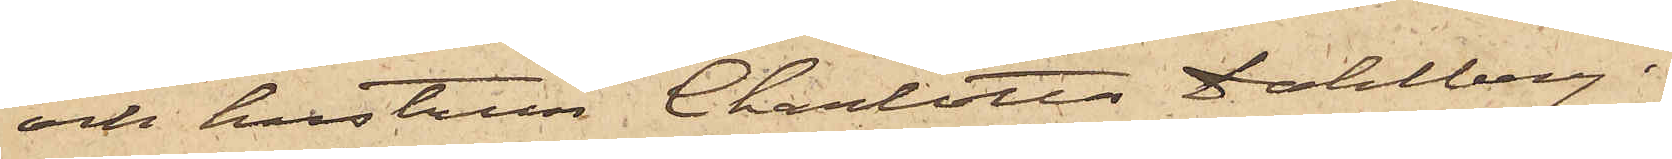och hustrun Charlotta Dahlberg i
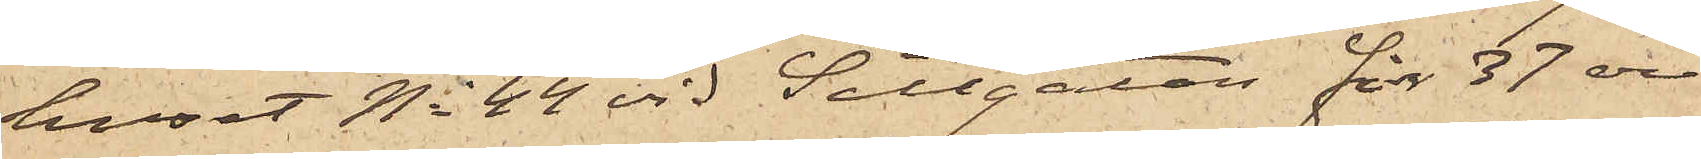huset No 44 vid Sillgatan för 37 öre
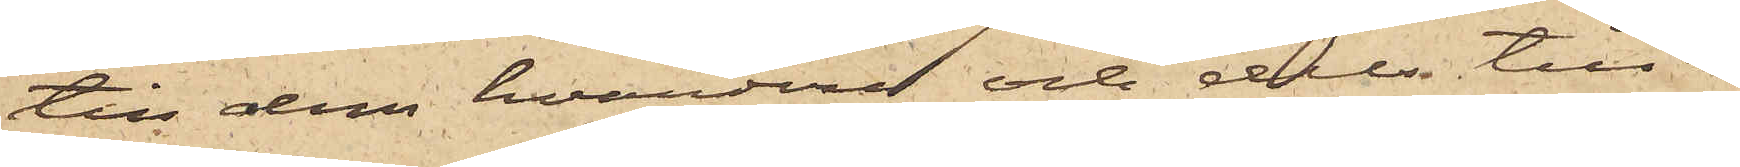till dem hvardera och dels till en
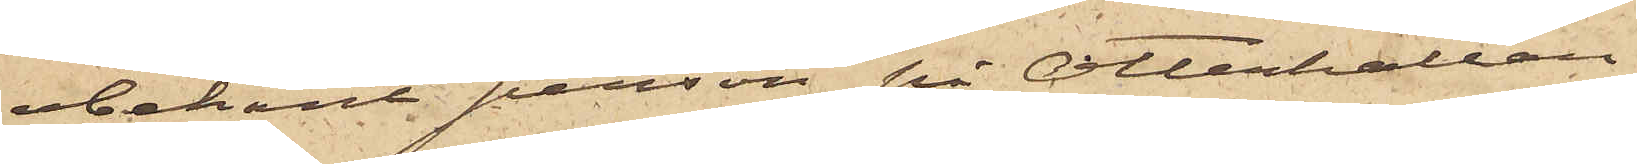obekant person på Otterhällan
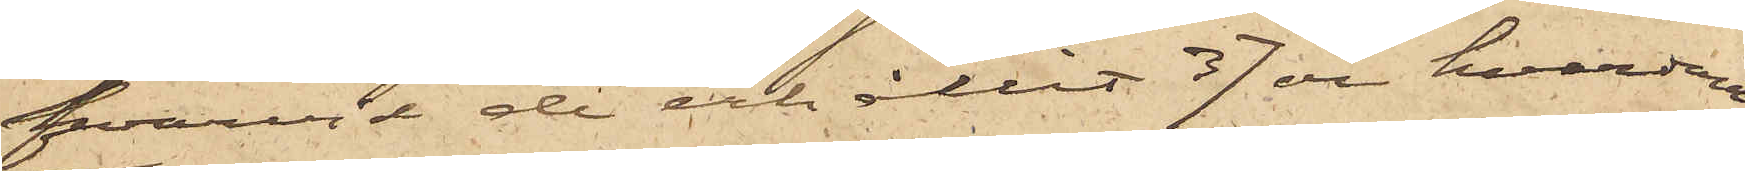hvarvid de erhållit 37 öre hvardera;
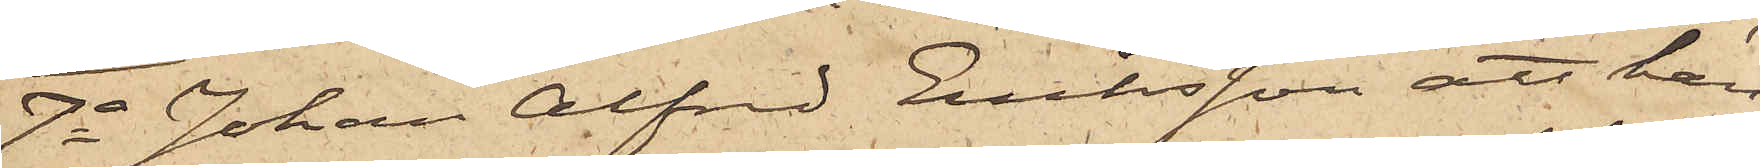7o Johan Alfred Eriksson att han
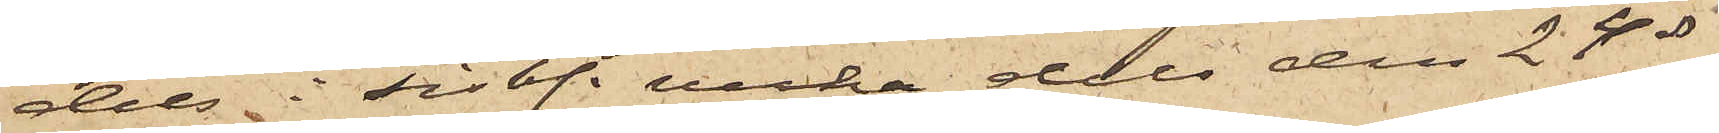dels i sist. vecka dels den 24 ds
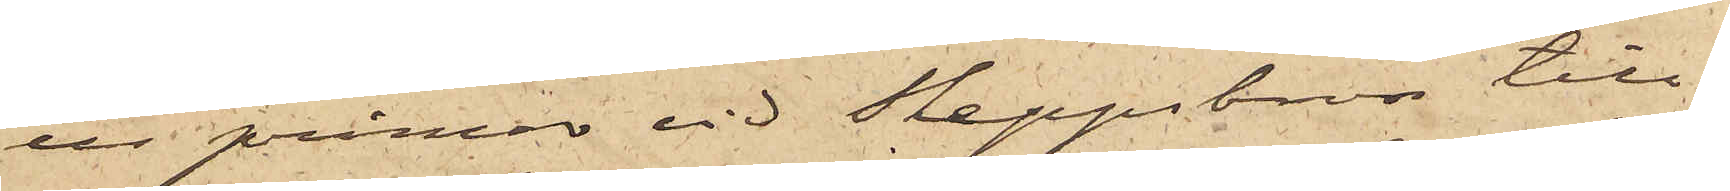ur pråmar vid Skeppsbron till¬
